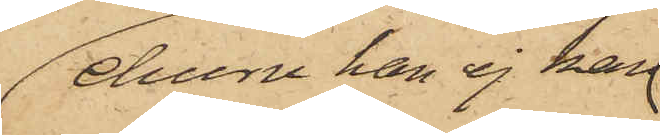ehuru han ej kan
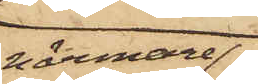närmare
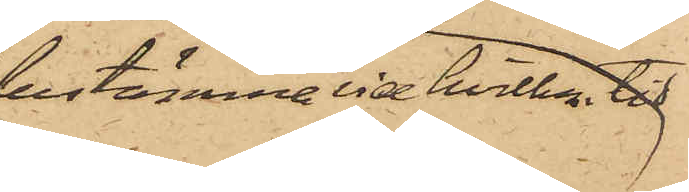bestämma tid hvilken tid
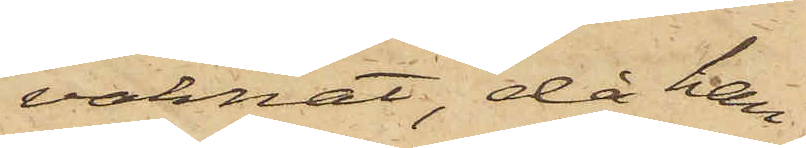vaknat, då han
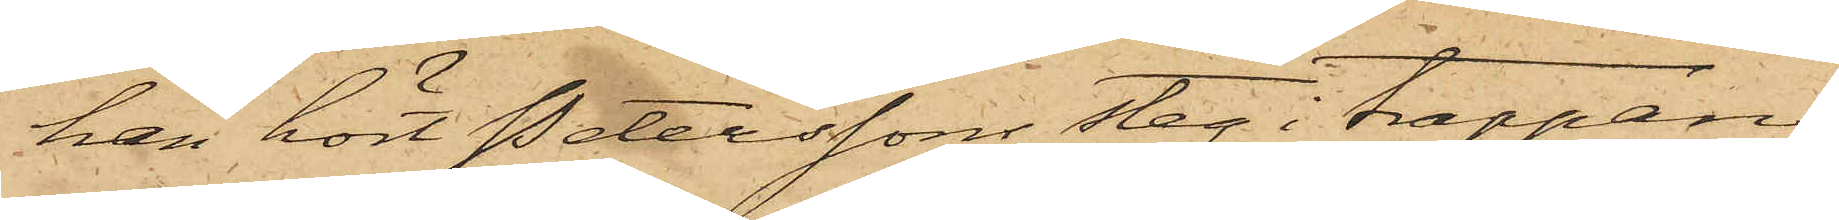han hört Peterssons steg i trappan;
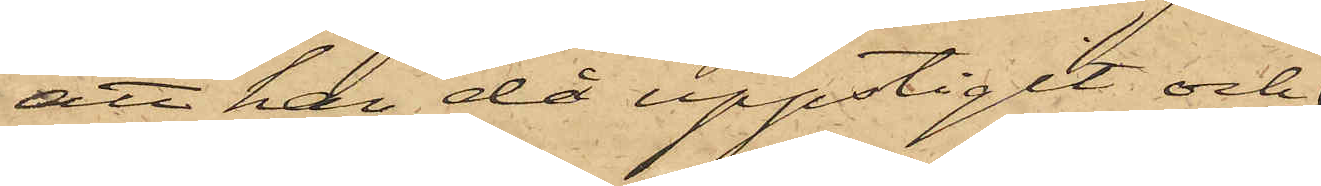att han då uppstigit och
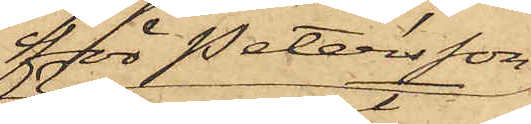för Petersson
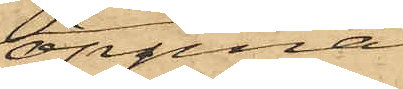öppnat
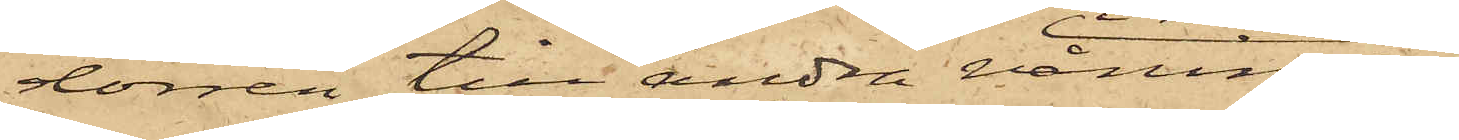dörren till andra våningen
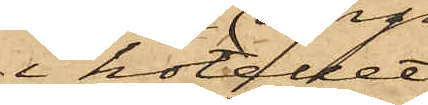i hotellet,
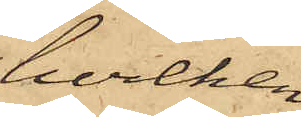hvilken
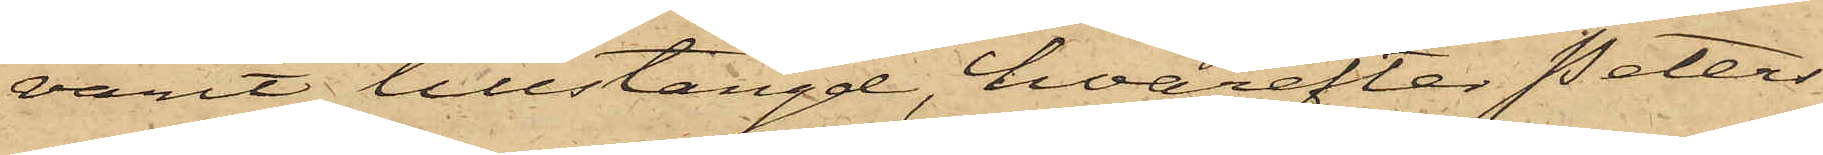varit tillstängd, hvarefter Peters¬
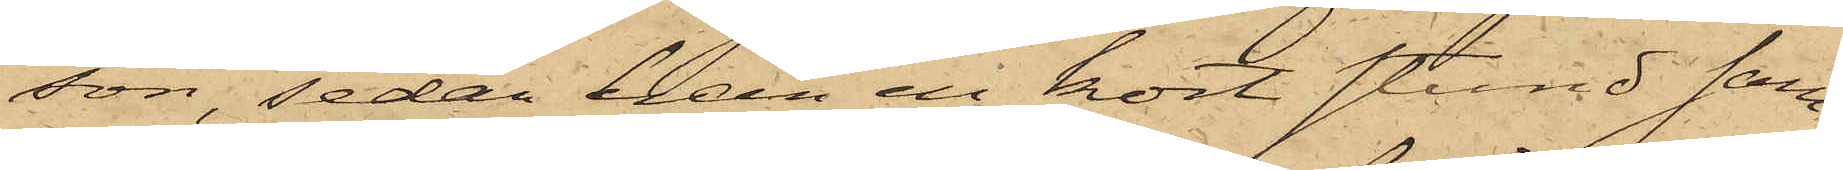son, sedan han en kort stund sam¬
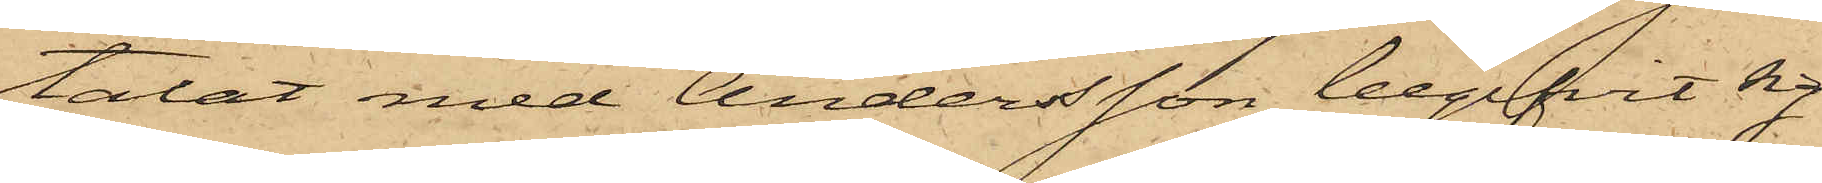talat med Andersson begifvit sig
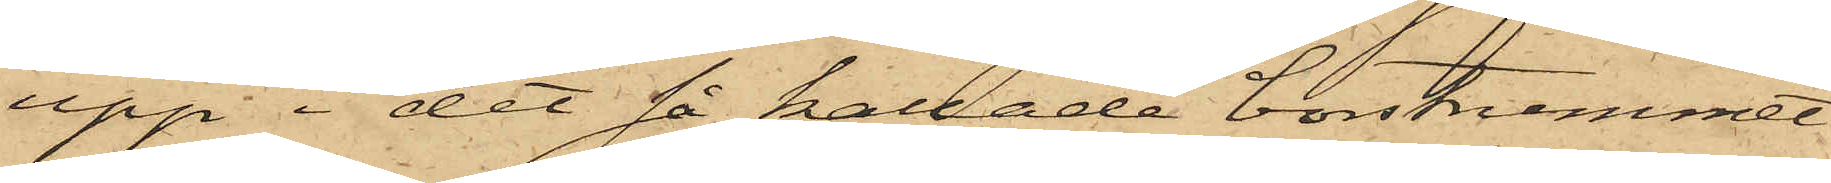upp i det så kallade borstrummet
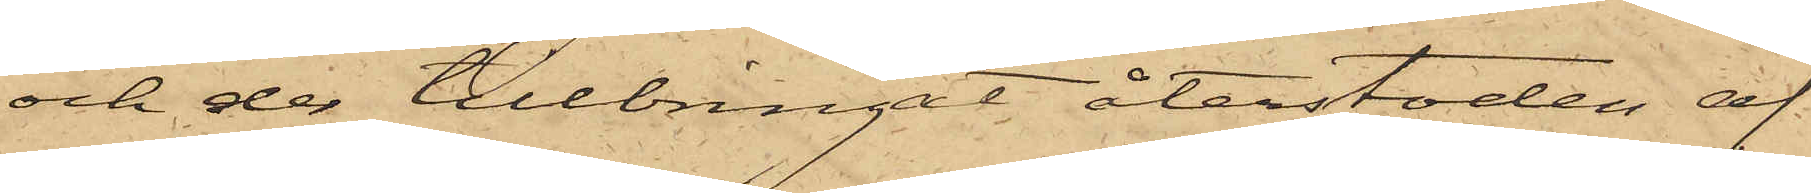och der tillbringat återstoden af
